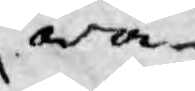wa¬
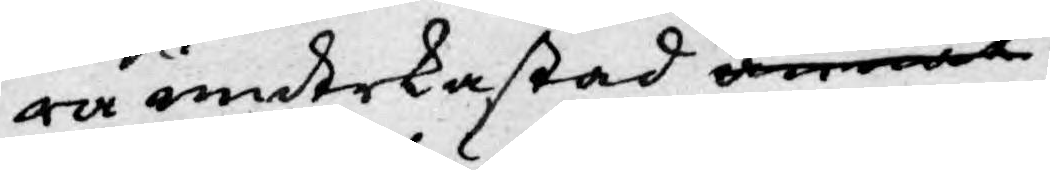ra underkastad annat
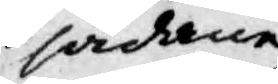sådane
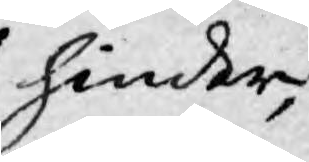hinder,
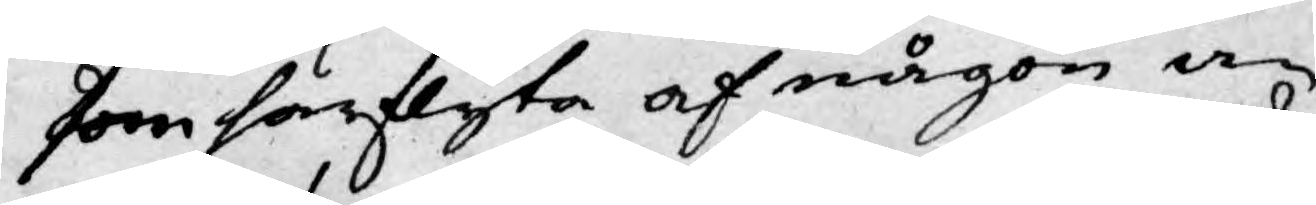som härflyta af någon an¬
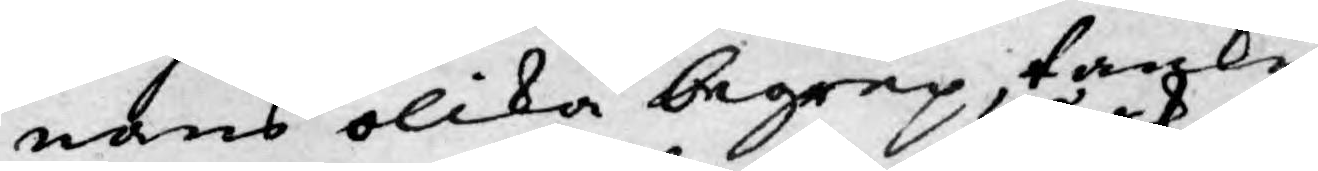nans olika begrep, tanke¬
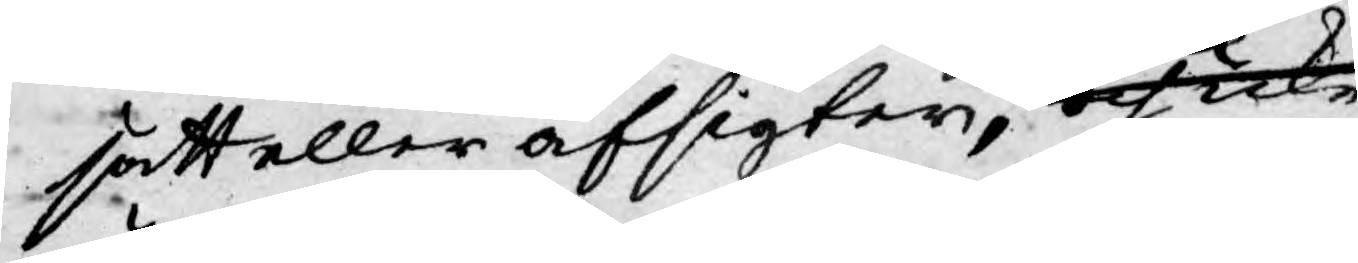sätt eller afsigter, och icke
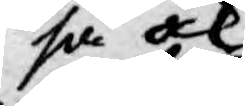så ock
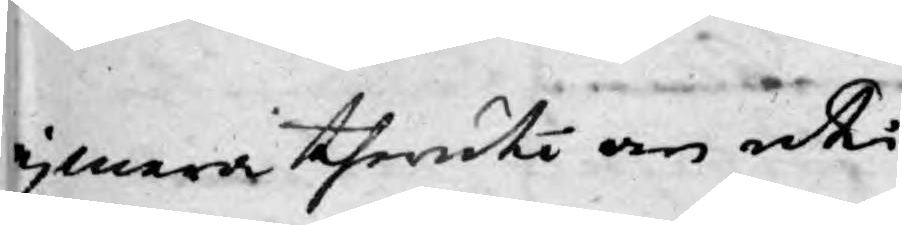ej mera theruti än uti
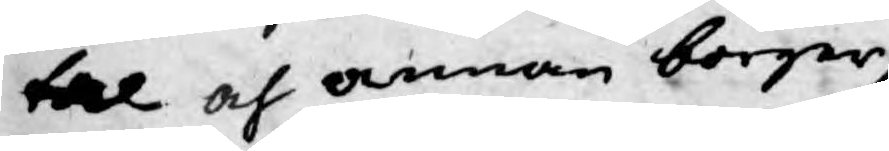tal och annan borger¬
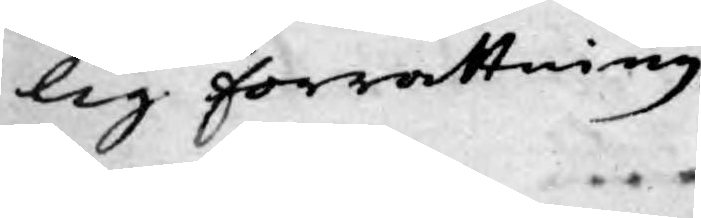lig förrettning
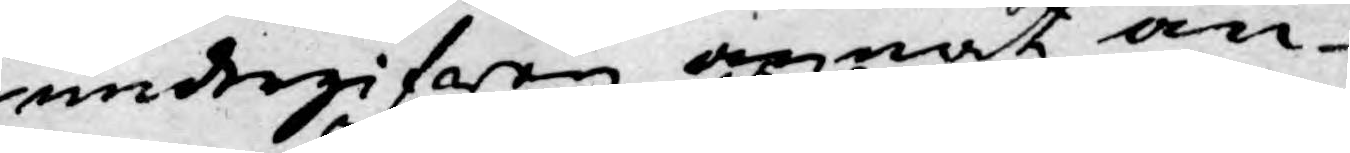undergifwen annat an¬
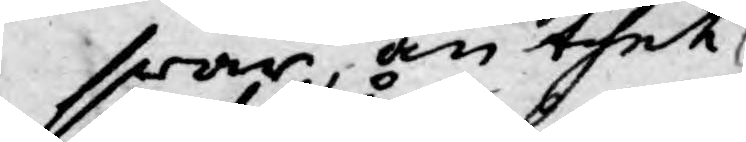swar, än thet
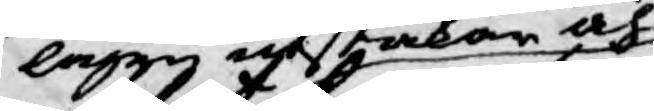lagen afstakar och
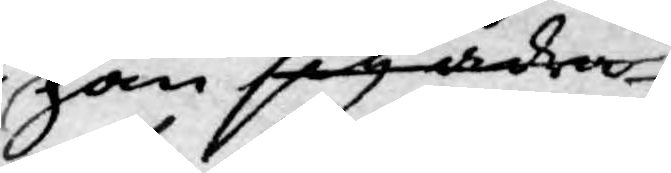han sig ådra¬
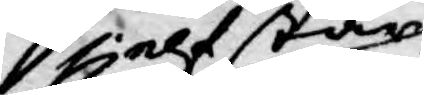sjelf står
